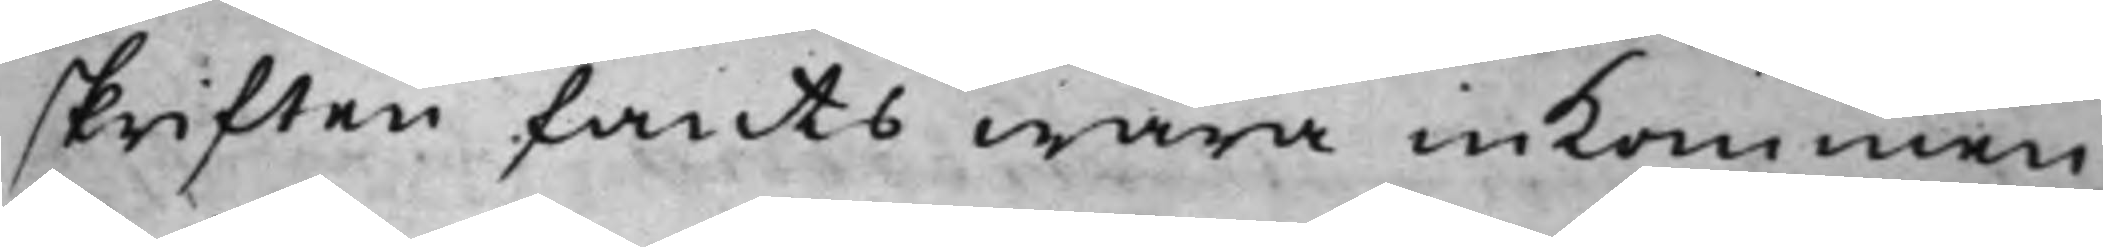skriften fants wara inkommen
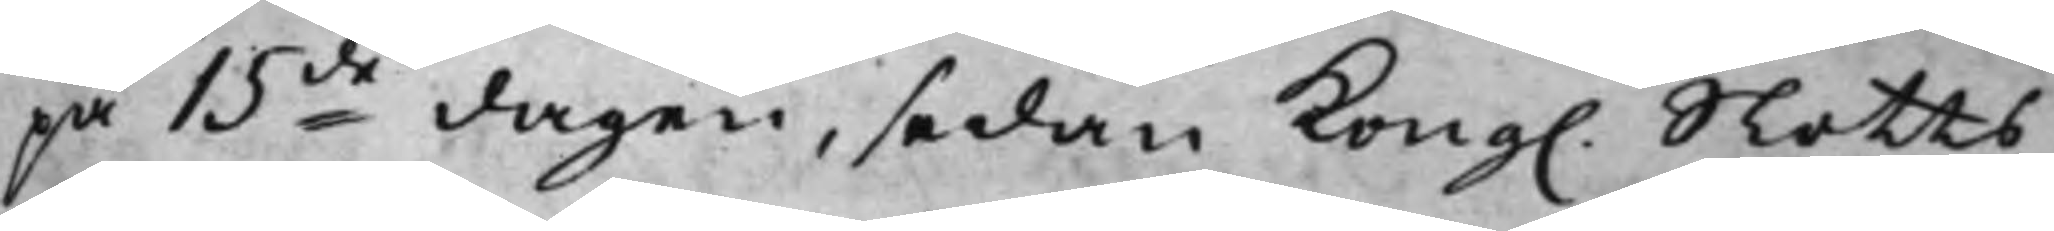på 15de dagen, sedan Kong. Slotts¬
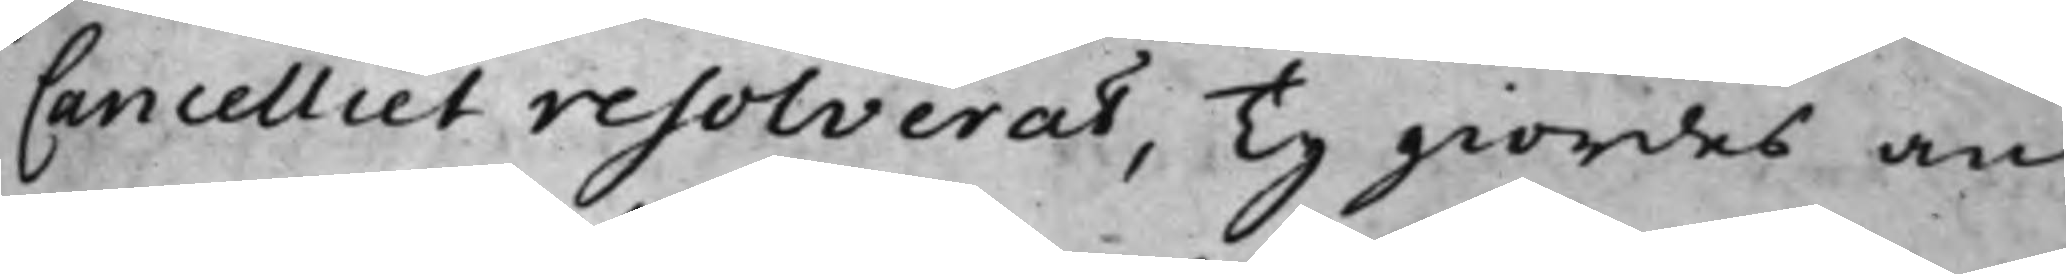Cancelliet resolverat, Ty giordes an¬
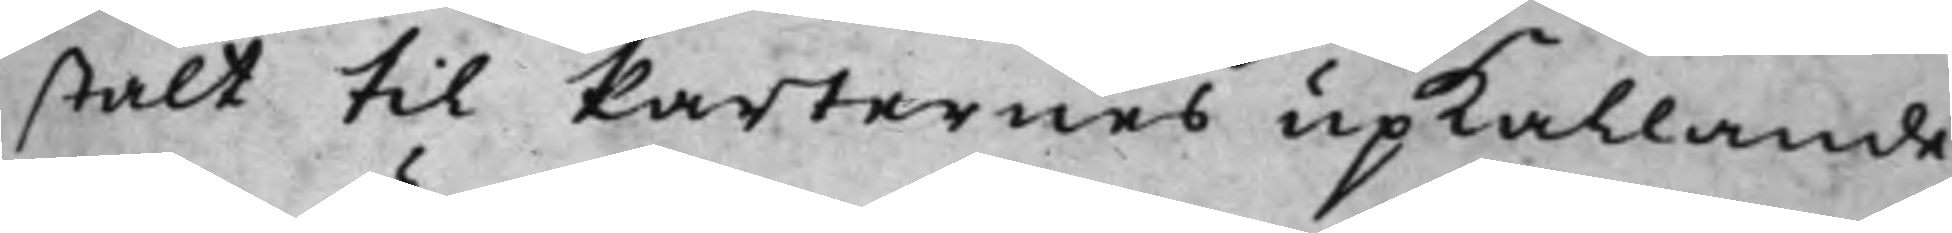stalt till Parternes upkallande.
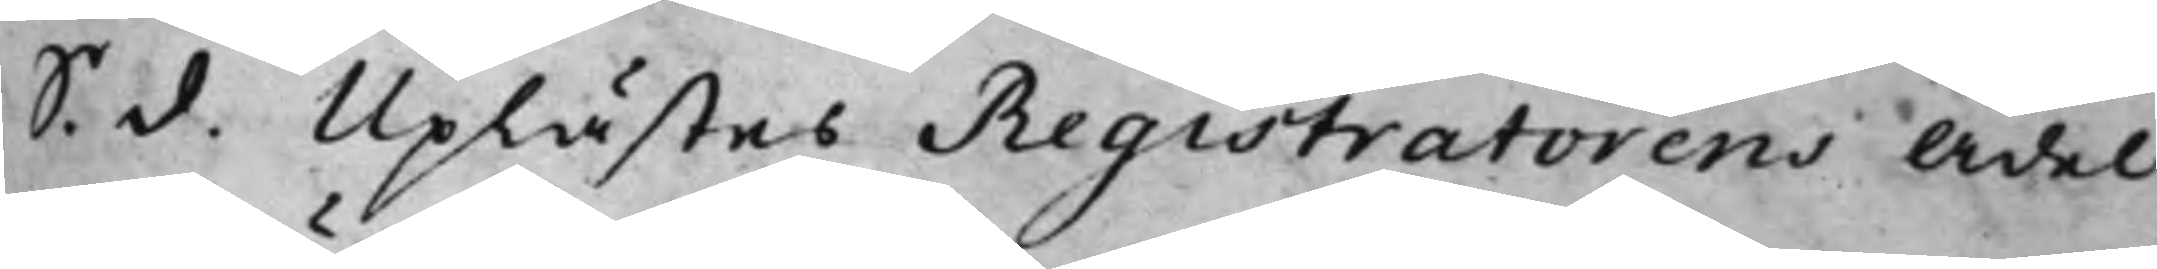S. d. Uplästes Registratorens Ädel
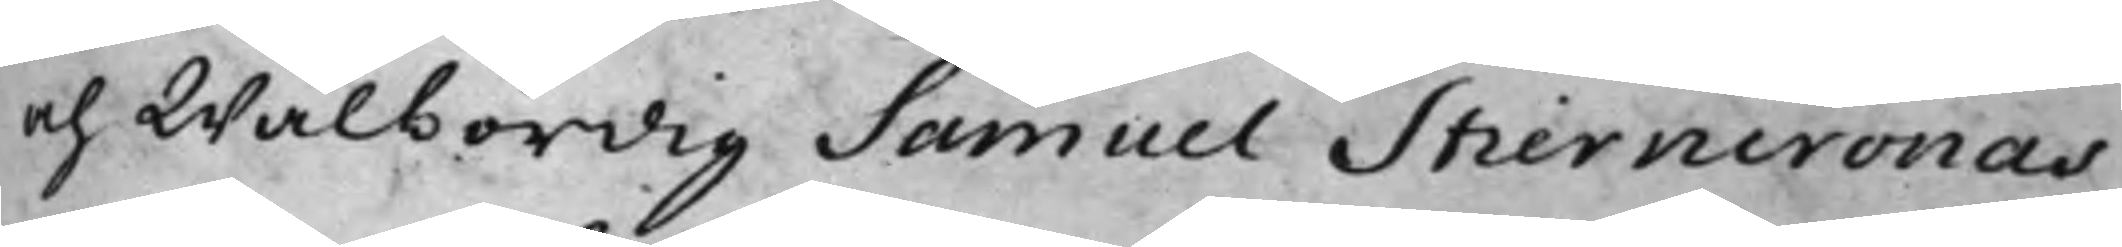och Wälbördig Samuel Stierncronas
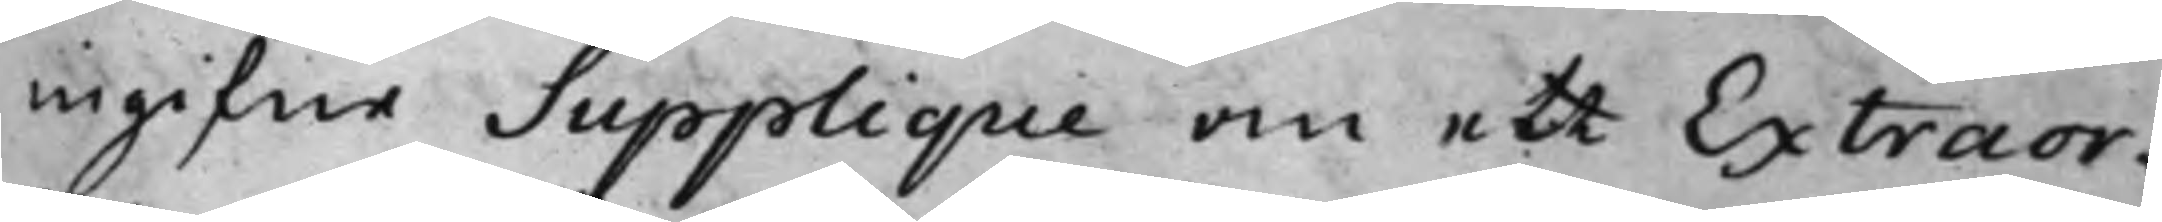ingifne Supplique om ett Extraor¬
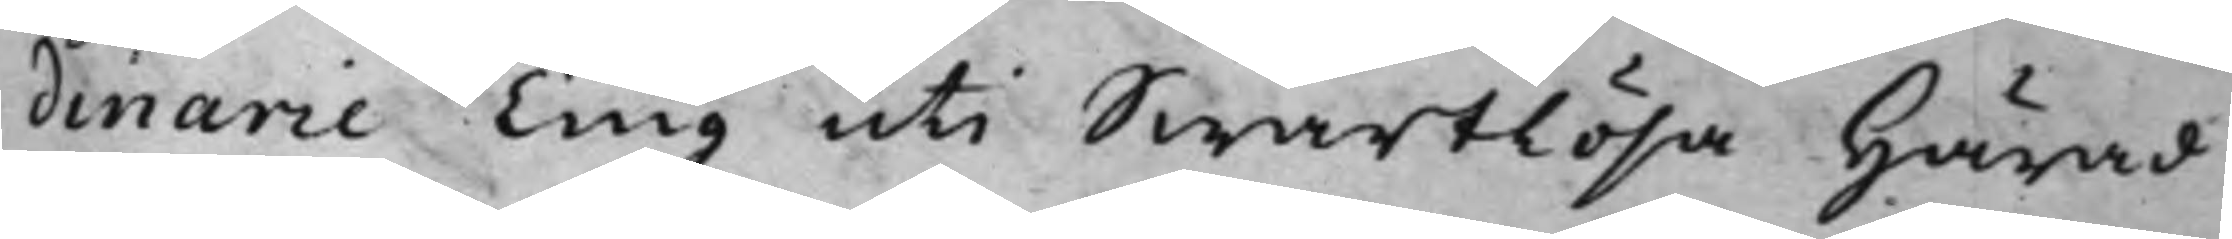dinarie Ting uti Swartlösa Härad
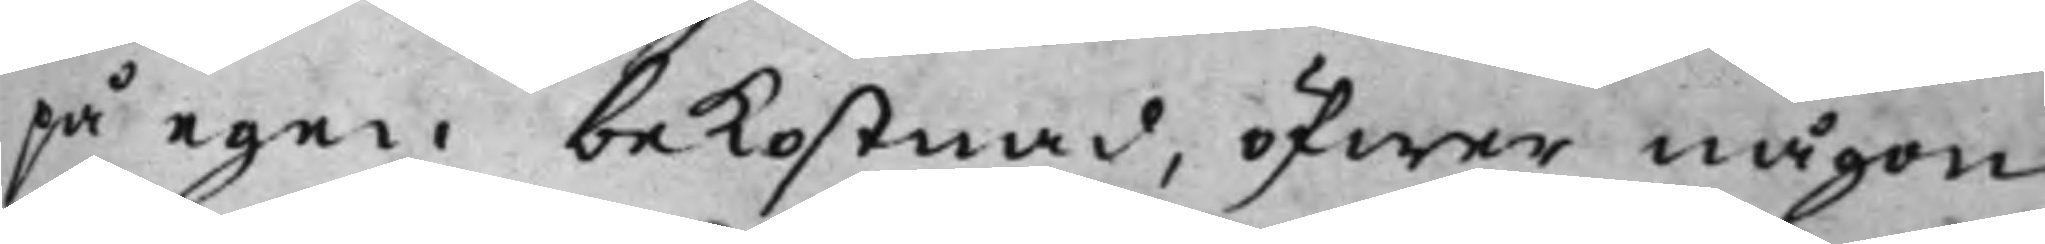på egen bekostnad, öfwer någon
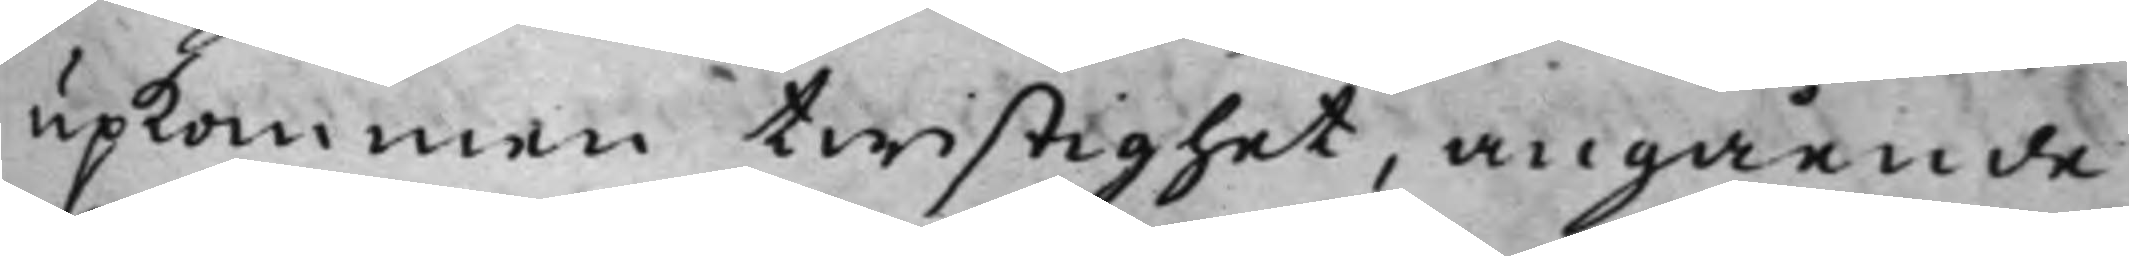upkommen twistighet, angående
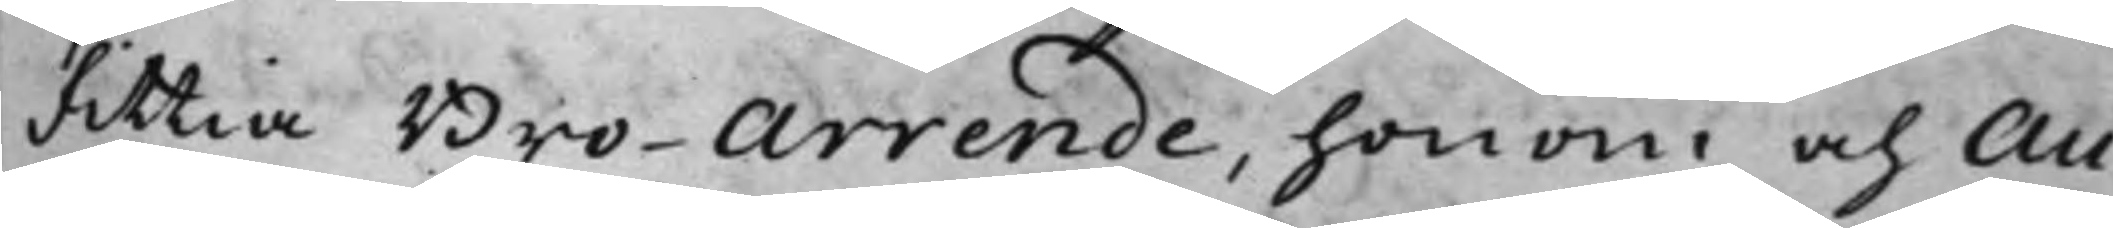Fittia Bro-Arrende, honom och Au¬
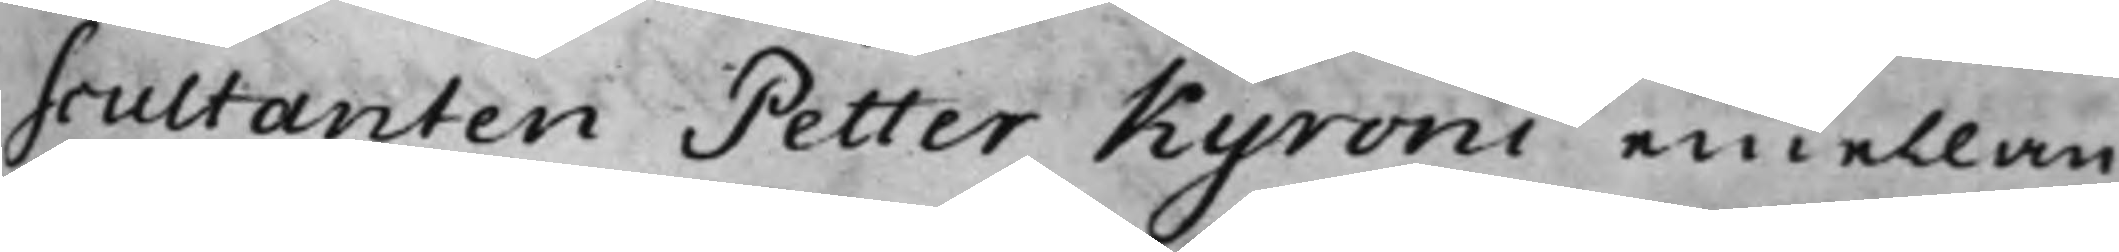scultanten Petter Kyroni emellan.
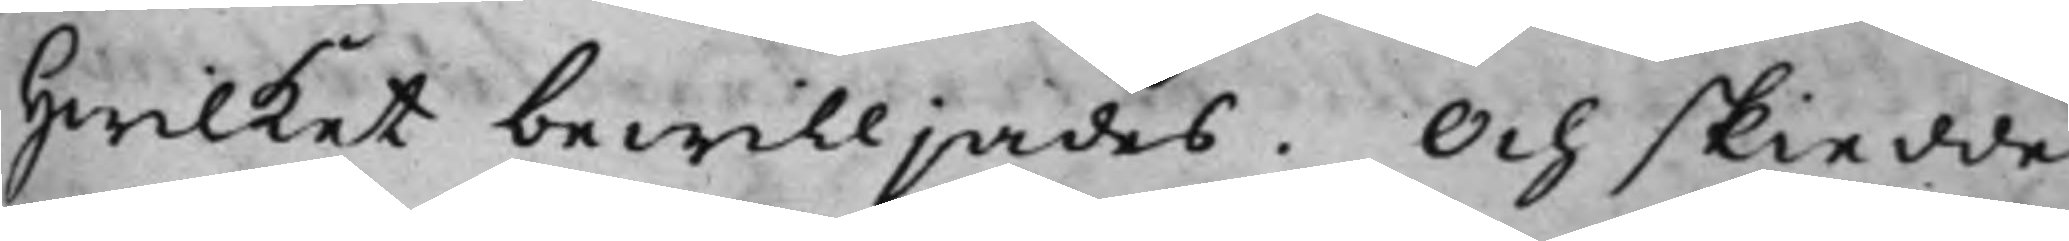Hwilket bewilljades. Och skiedde
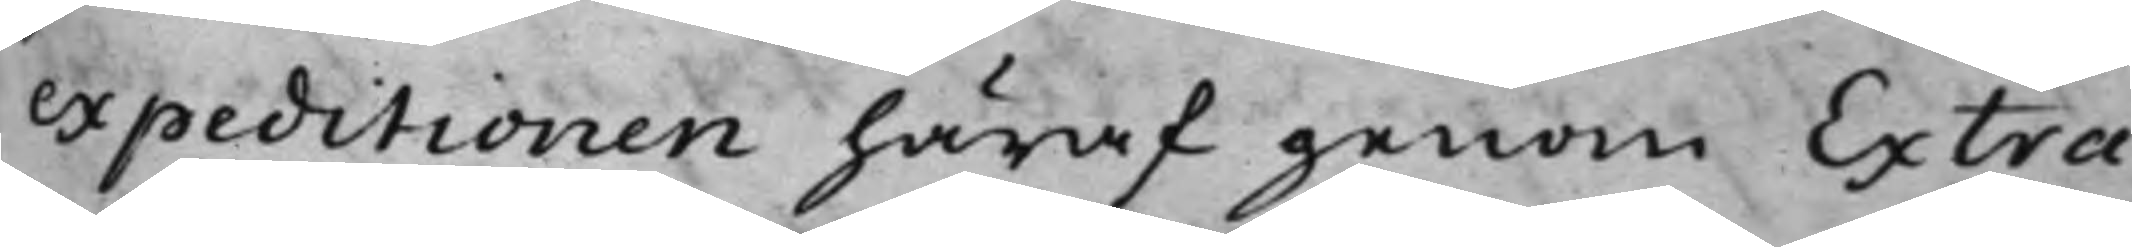expeditionen häraf genom Extra¬
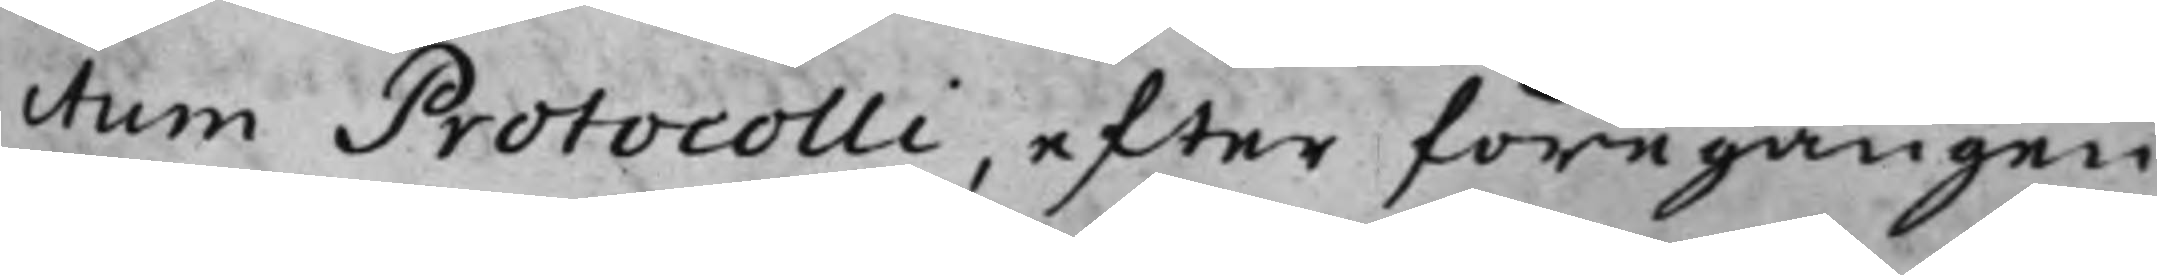ctum Protocolli, efter föregången
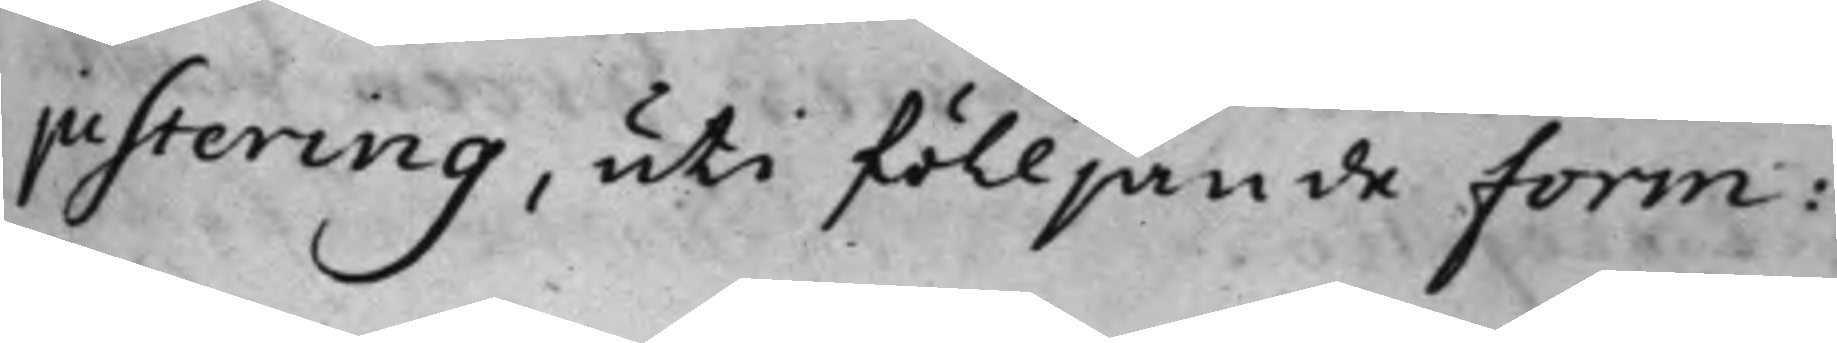justering, uti fölljande form:
